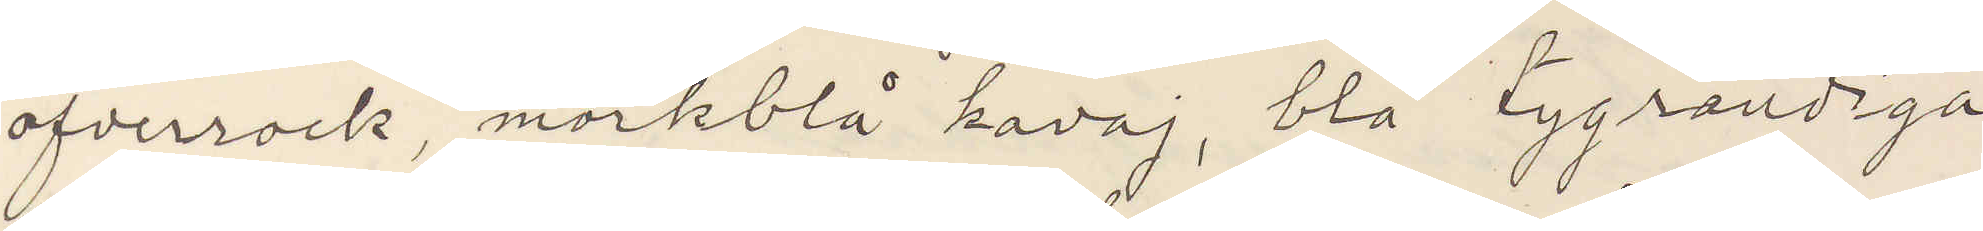öfverrock, mörkblå kavaj, blå tygrandiga
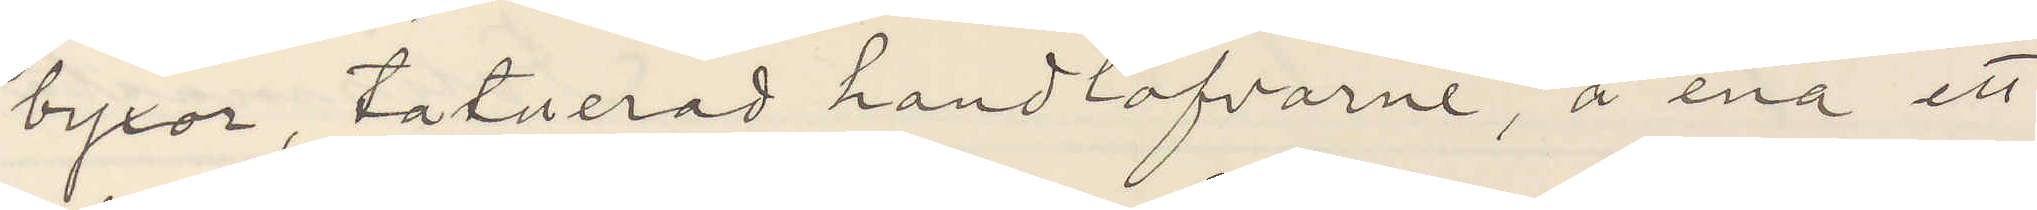byxor, tatuerad handlofvarne, å ena ett
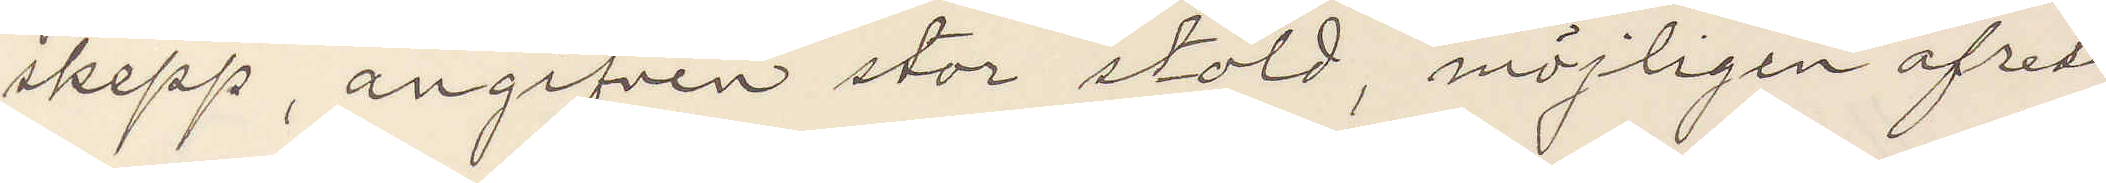skepp, angifven stor stöld, möjligen afrest
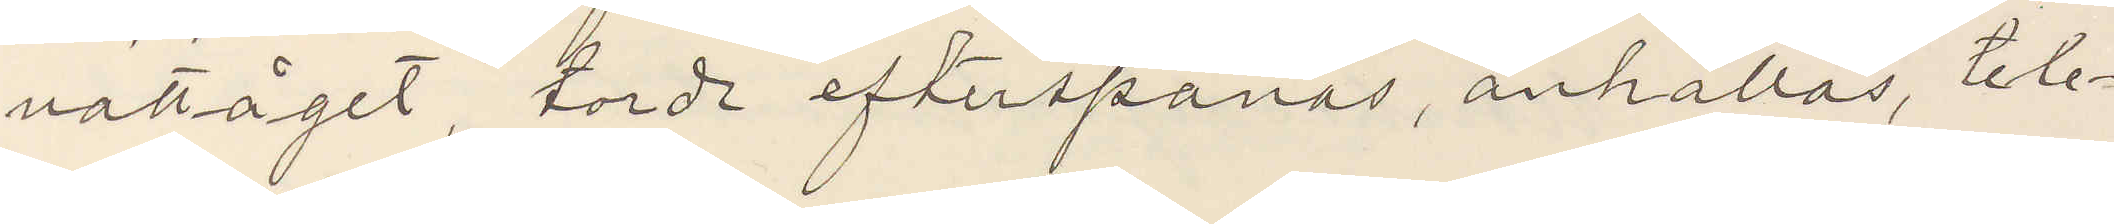nattåget, torde efterspanas, anhållas, tele¬
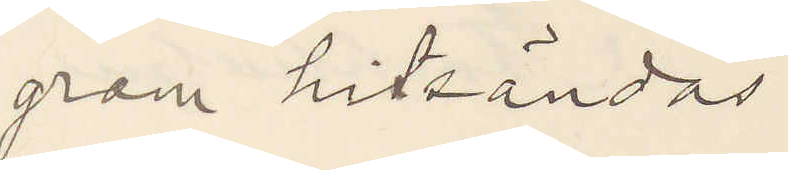gram hitsändas
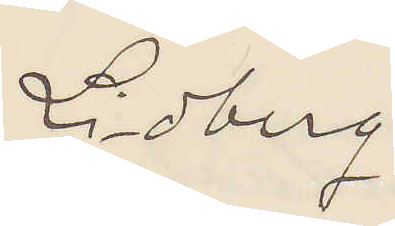Lidberg
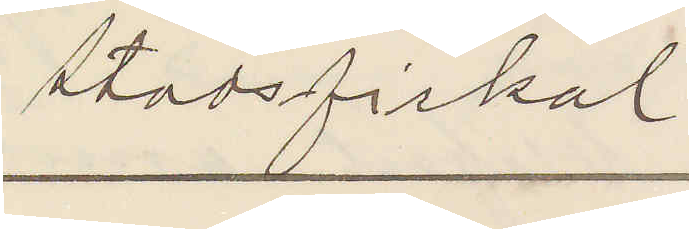Stadsfiskal
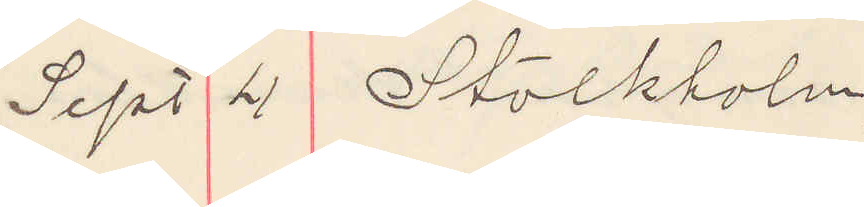Sept 4 Stockholm
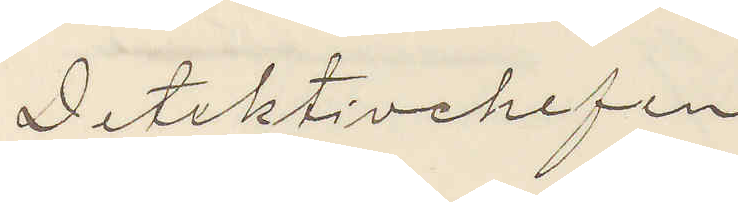Detektivchefen
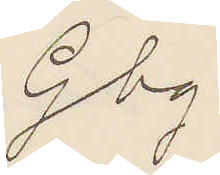Gbg.
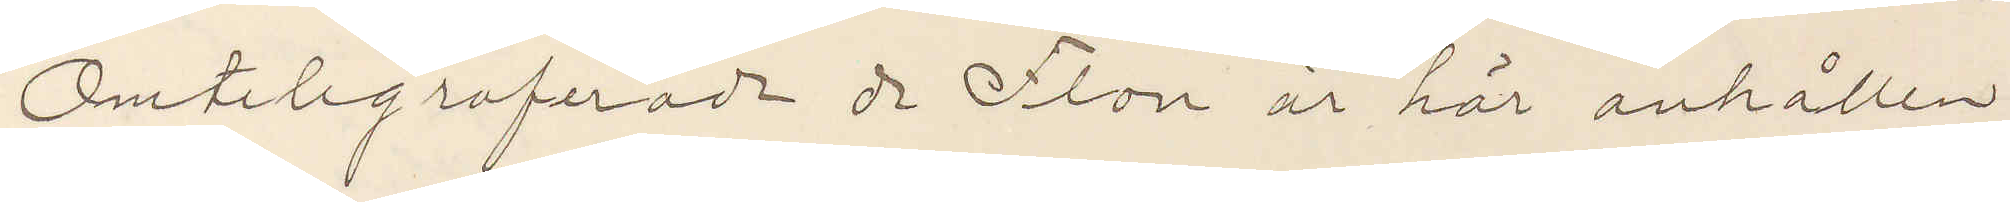Omtelegraferade de Flon är här anhållen
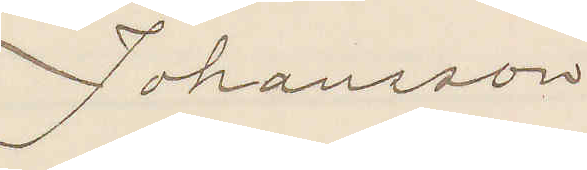Johansson
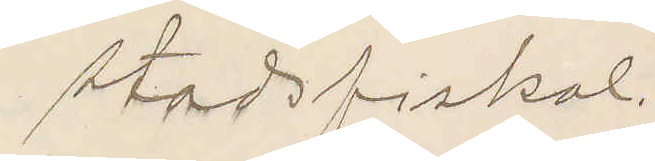Stadsfiskal.
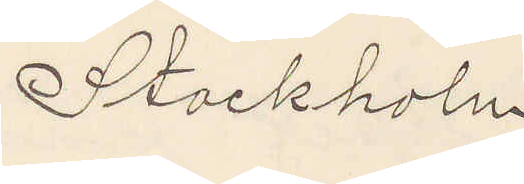Stockholm
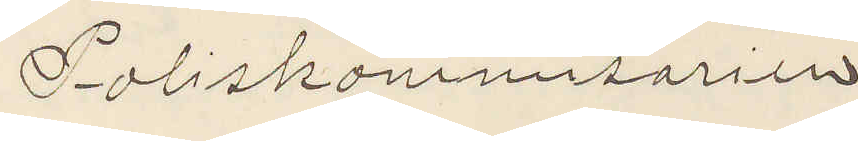Poliskammaren
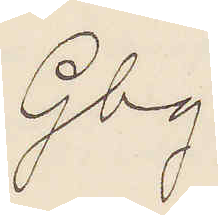Gbg.
